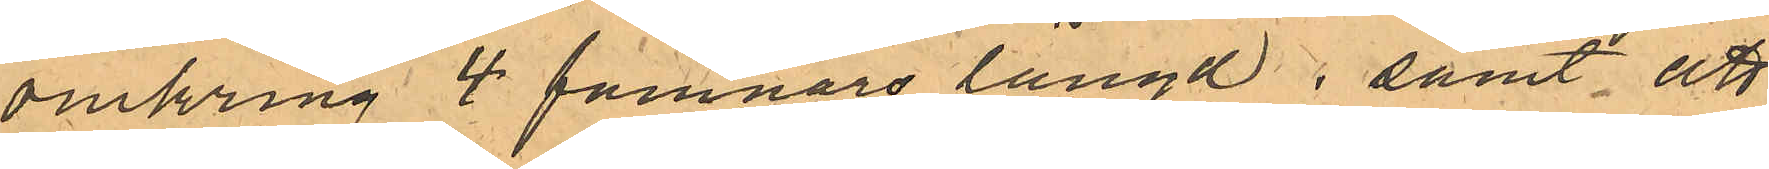omkring 4 famnars längd; samt att
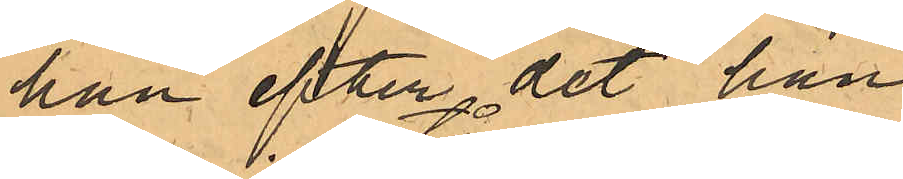han efter det han
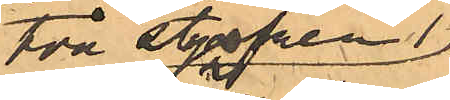i två stycken
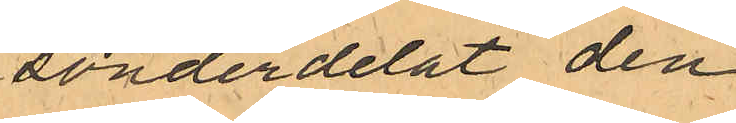sönderdelat den
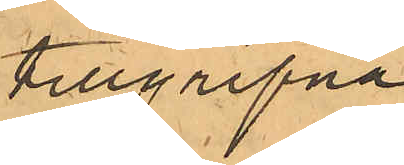tillgripne
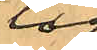tåg¬
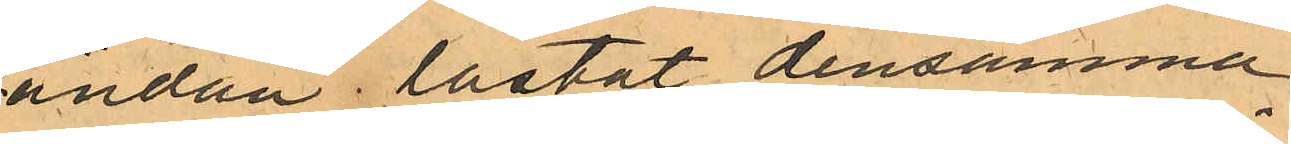ändan lastat densamma
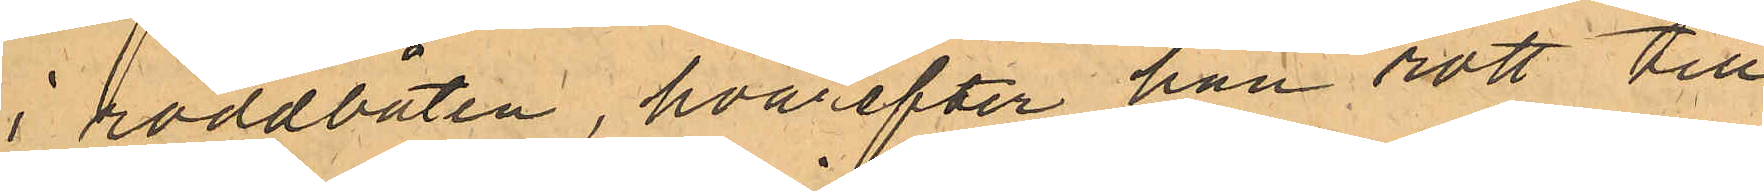i roddbåten, hvarefter han rott till
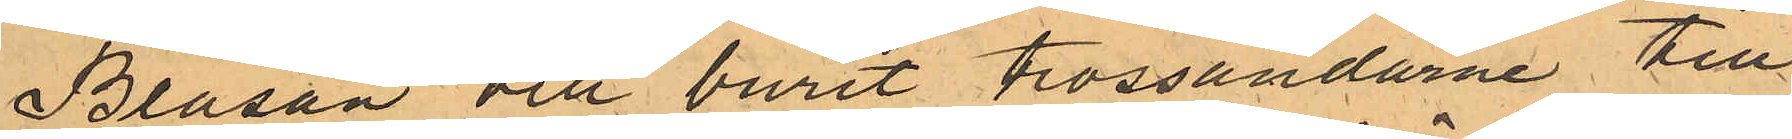Bläsan och burit trossändarne till
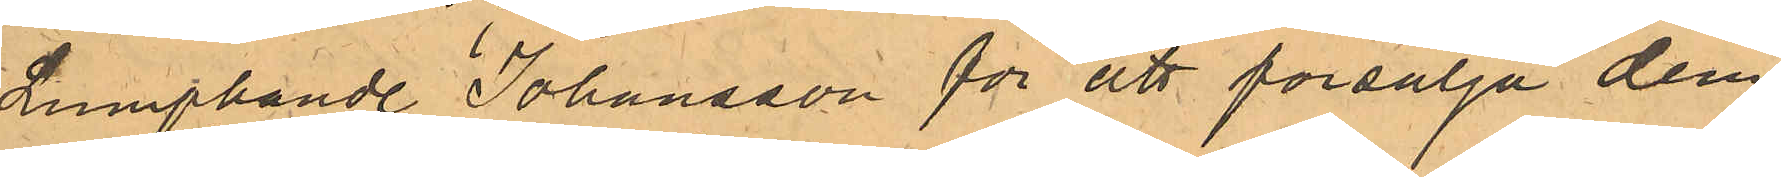Lumphandl. Johansson för att försälja dem,
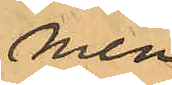men
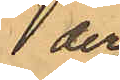der
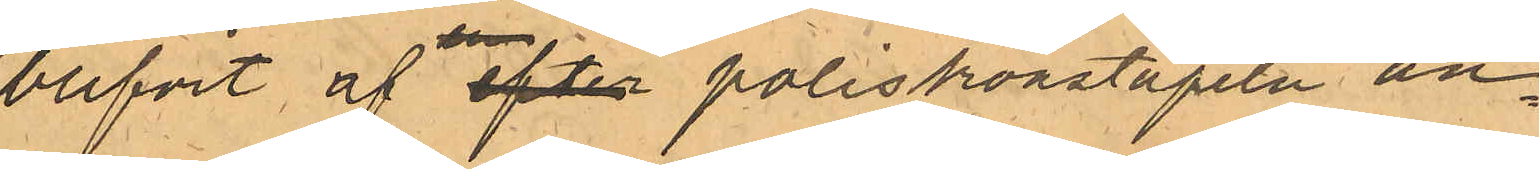blifvit af efter poliskonstapeln an¬
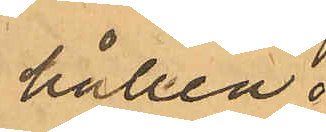hållen.
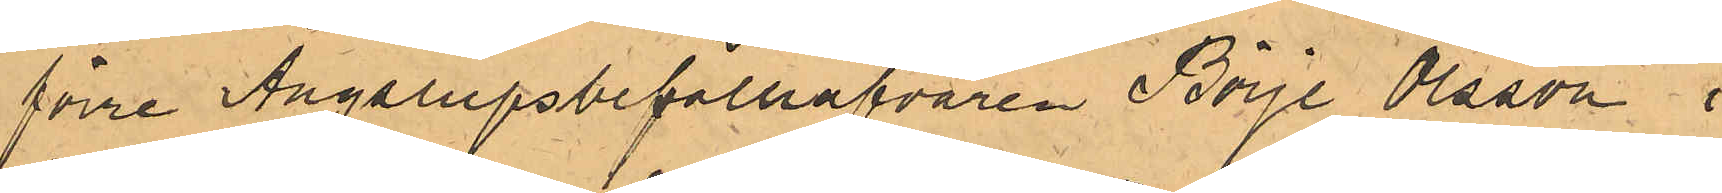förre Ångslupsbefälhafvaren Börje Olsson i
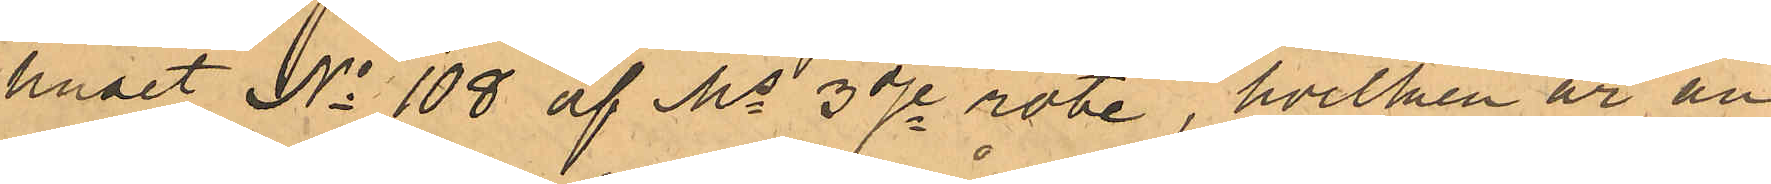huset No 108 af Ms 3dje rote, hvilken är an¬
